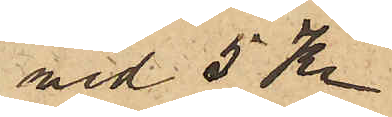med 5 Kr
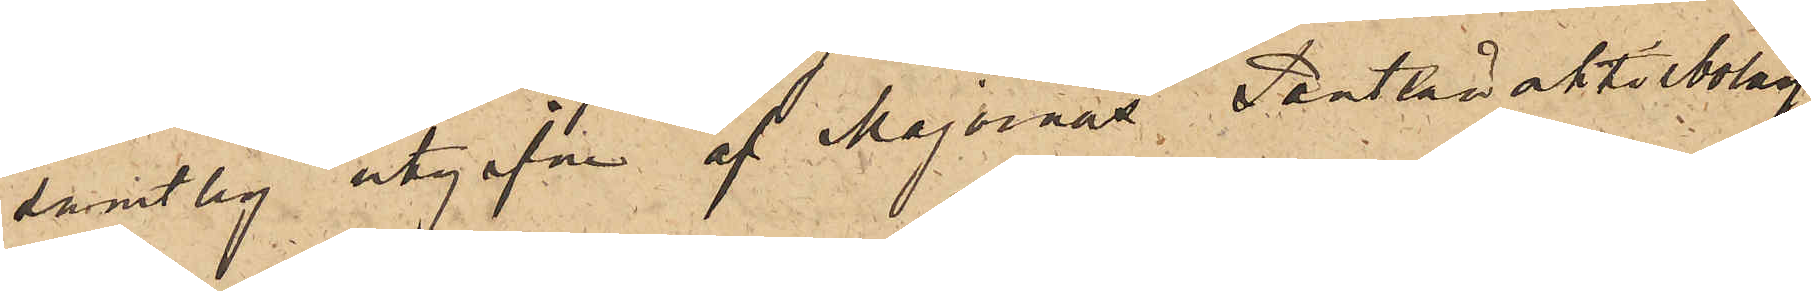samtlig utgifvna af Majornas Pantlånaktiebolag
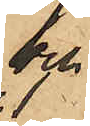och
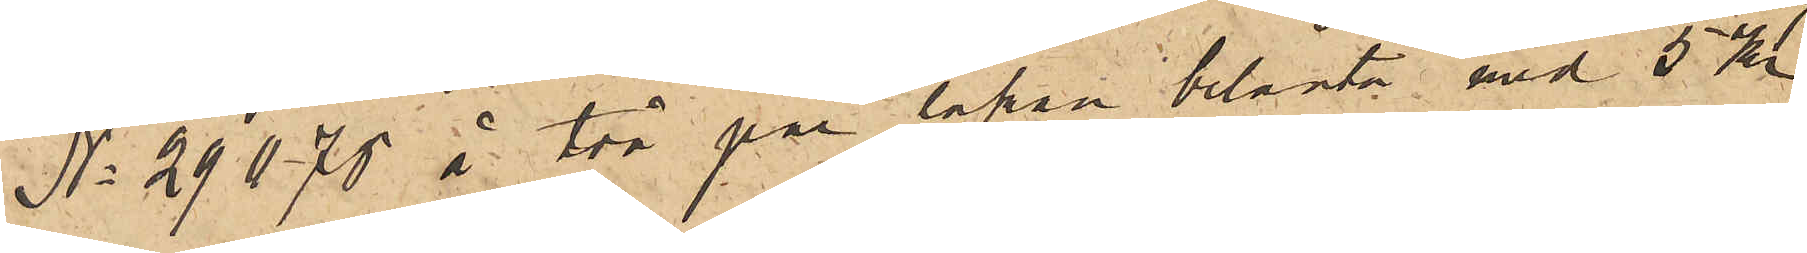No 29070 å två par lakan belånte med 5 Kr
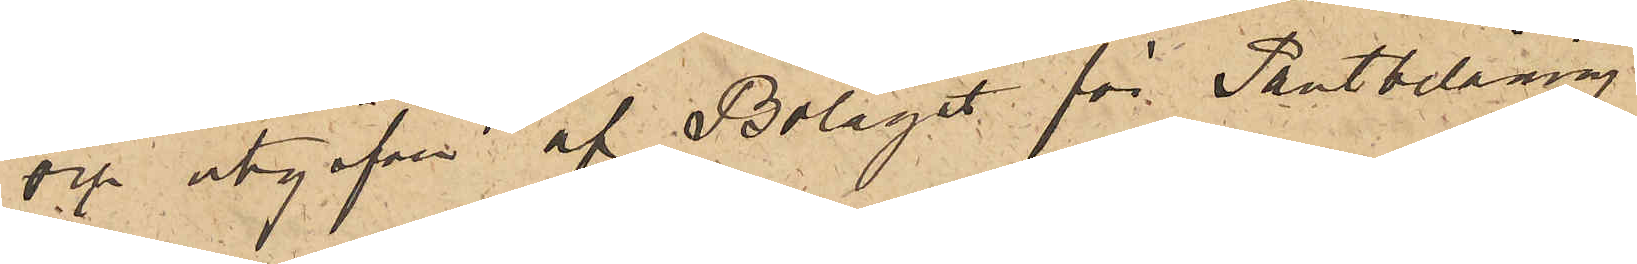och utgifven af Bolaget för Pantbelåning.
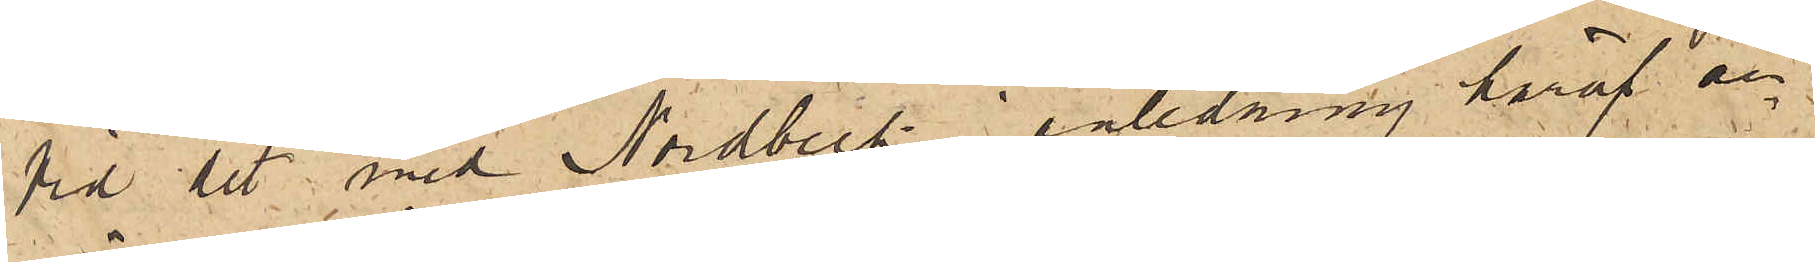Vid det med Nordbeck i anledning häraf an¬
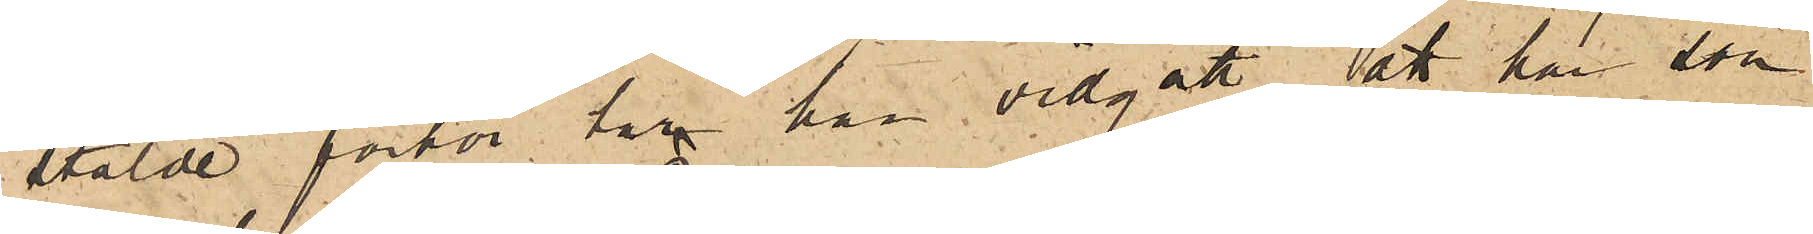stälde förhör har han vidgått, att han som
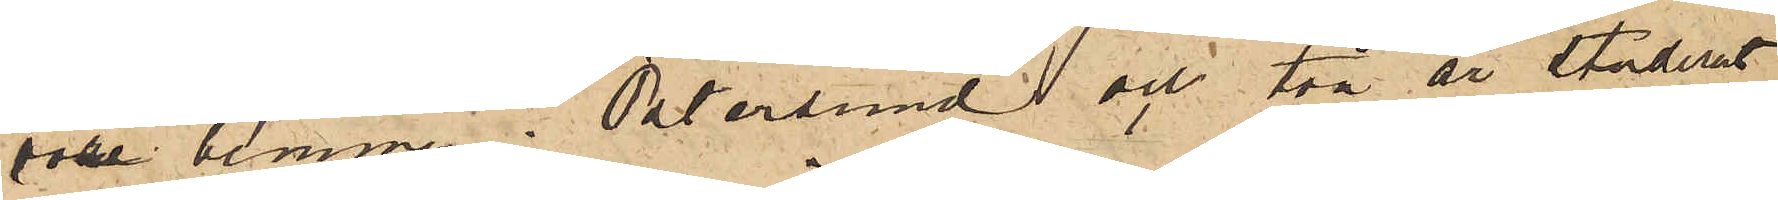vore hemma i Östersund och två år studerat
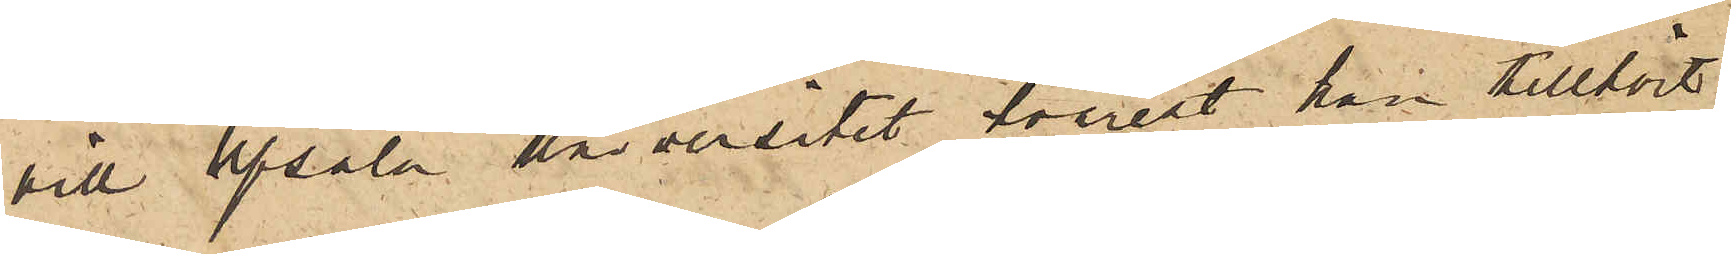vid Upsala Universitet hvarest han tillhört
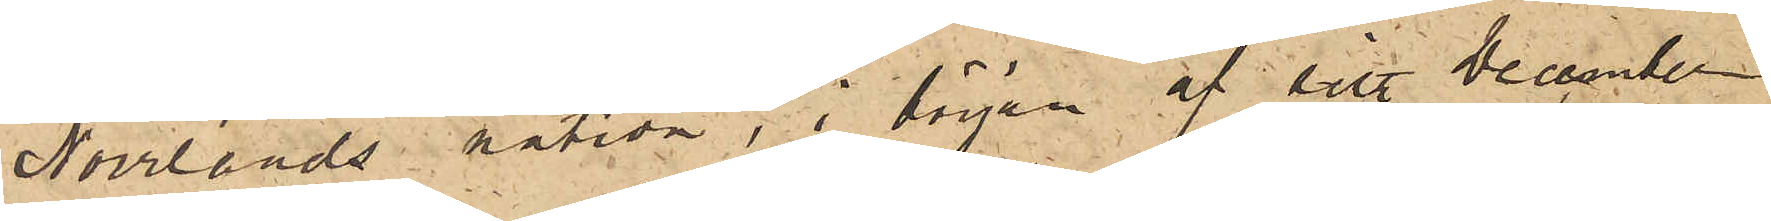Norrlands nation, i början af sist.  December
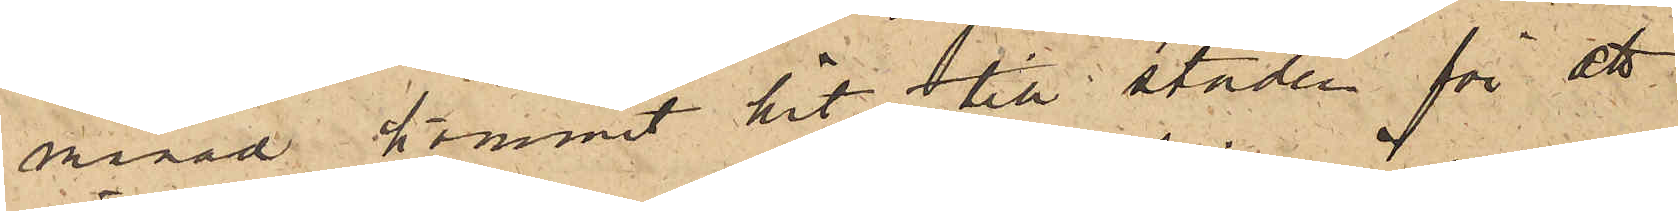månad kommit hit till staden för att
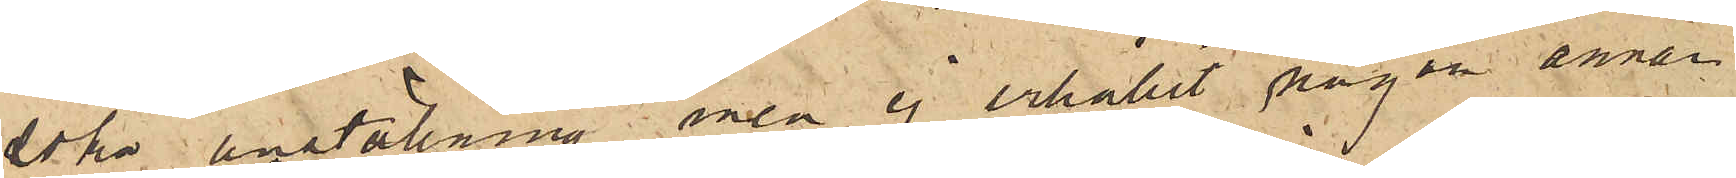söka anställning, men ej erhållit någon annan
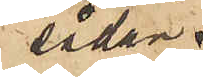sådan
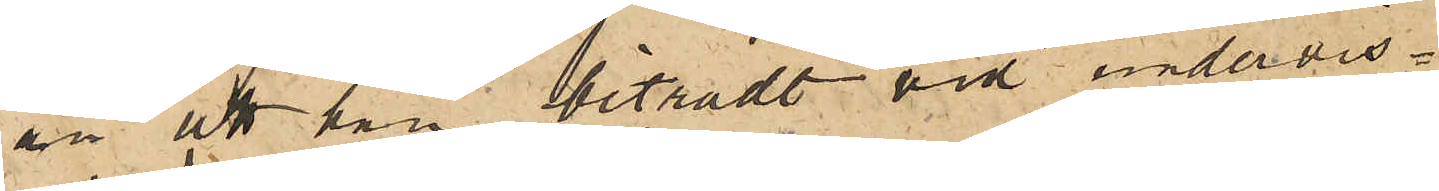än att han biträdt vid undervis¬
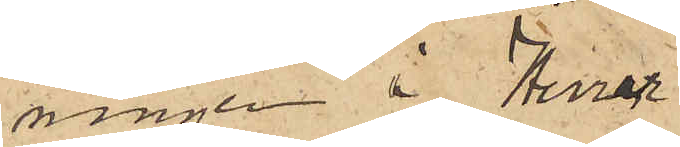ningen i Herrar Laurin och Reuterskiölds
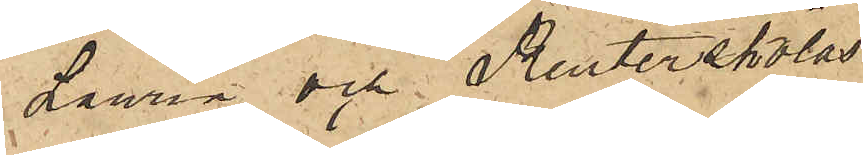skola;  
